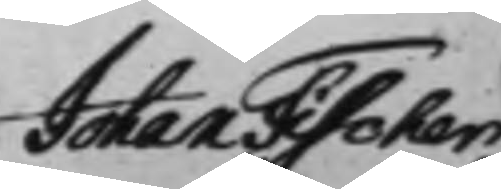Johan Fischer
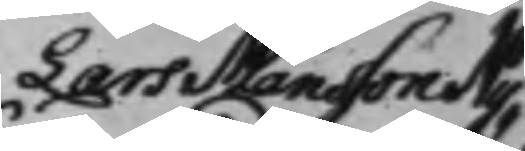Lars Månsson Ny¬
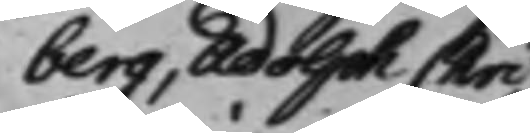berg, Adolph Chri¬
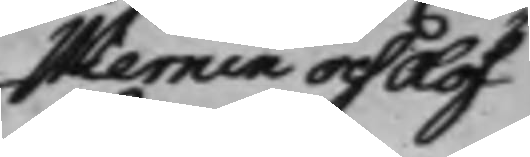stiernin och Olof
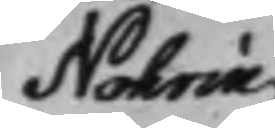Nohrin
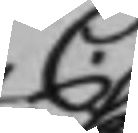C.
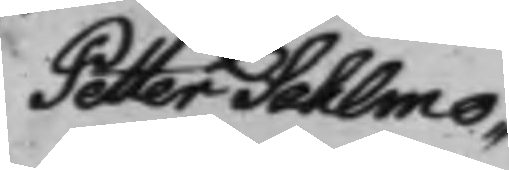Petter Sahlmo¬
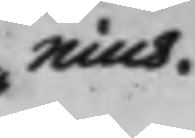nius.
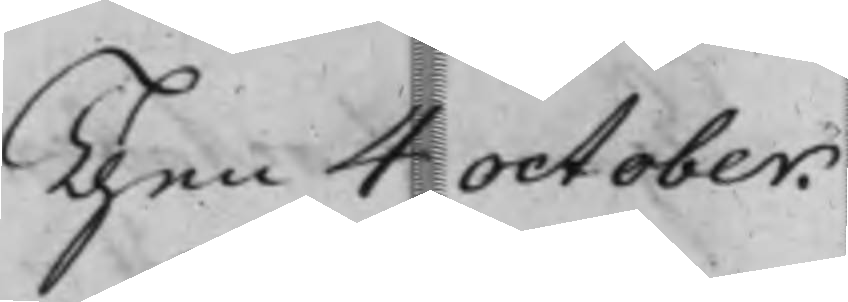Then 4 october.
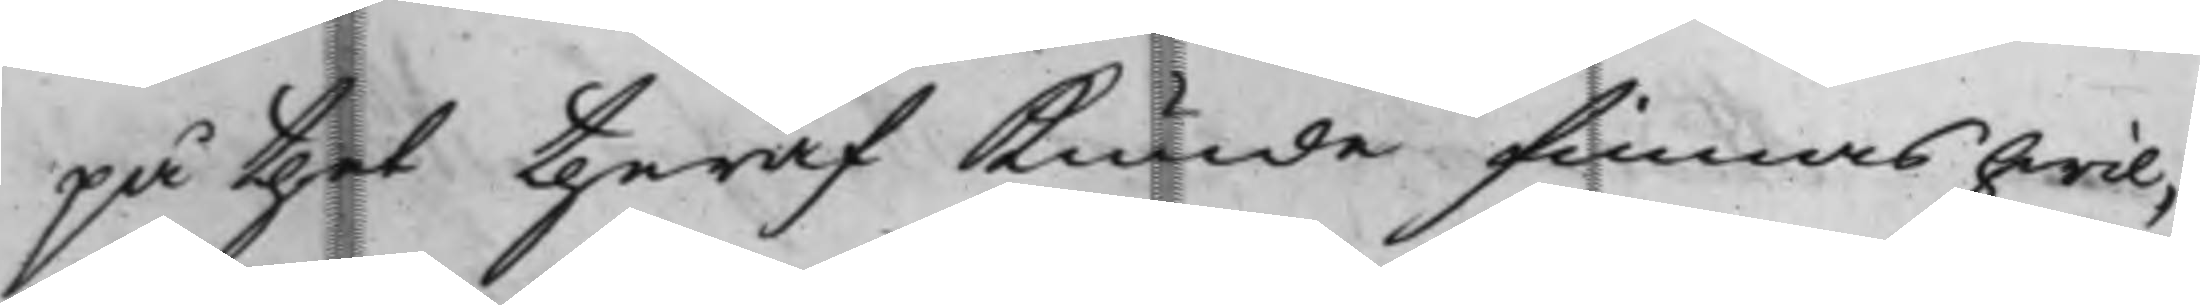på thet theraf kunde finnas hwil¬
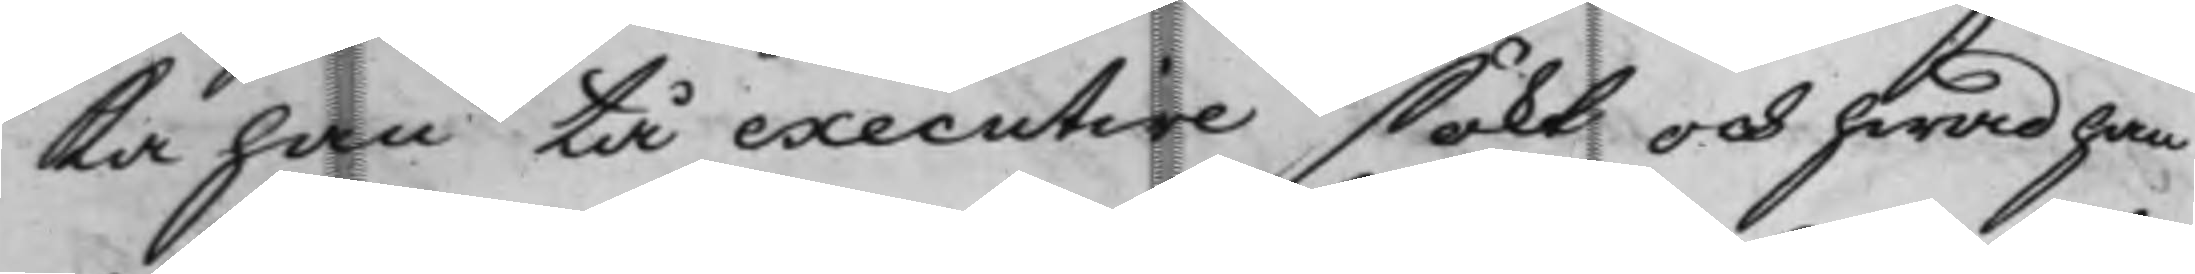ka han tå executive sökt och hwad han
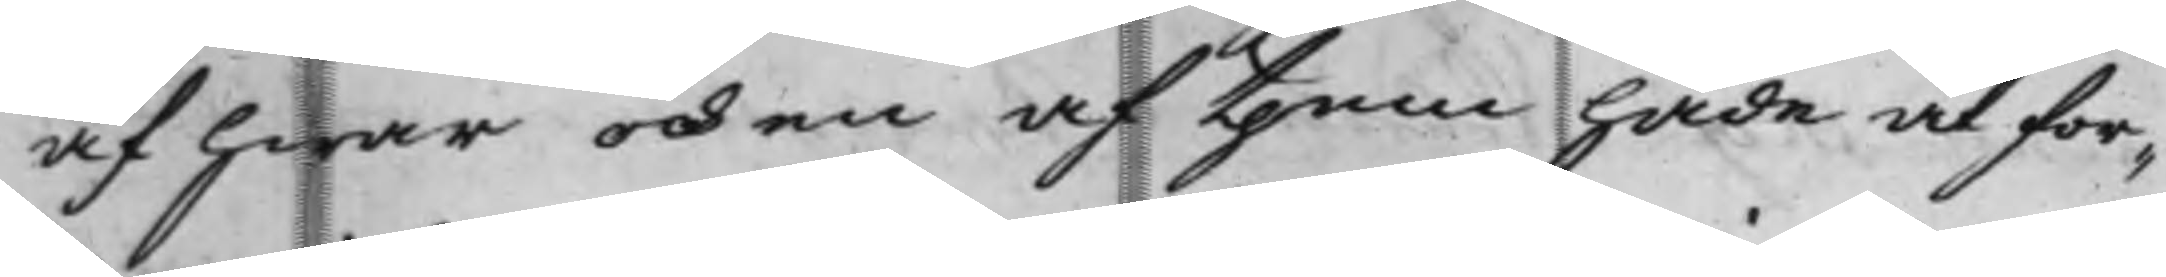af hwar och en af them hade at for¬
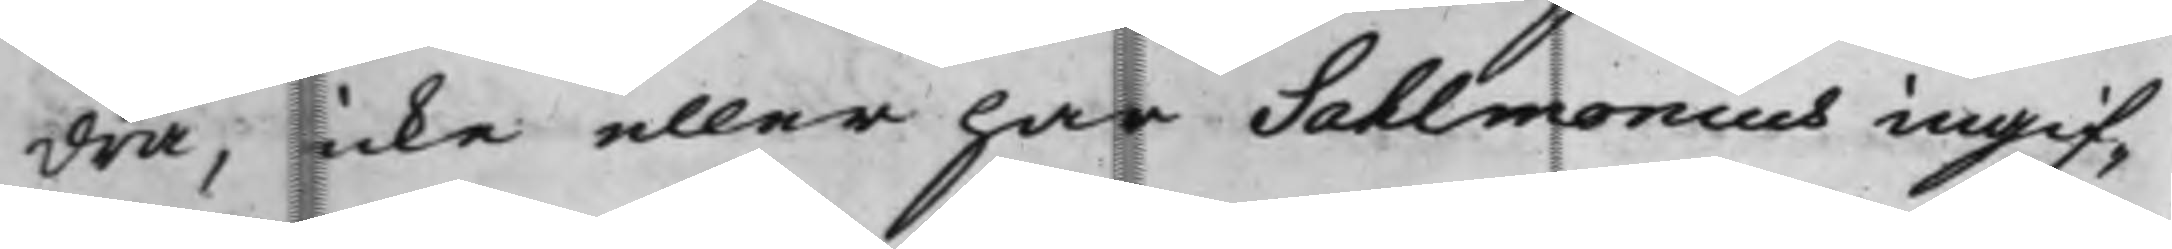dra, icke eller har Sahlmonius ingif¬
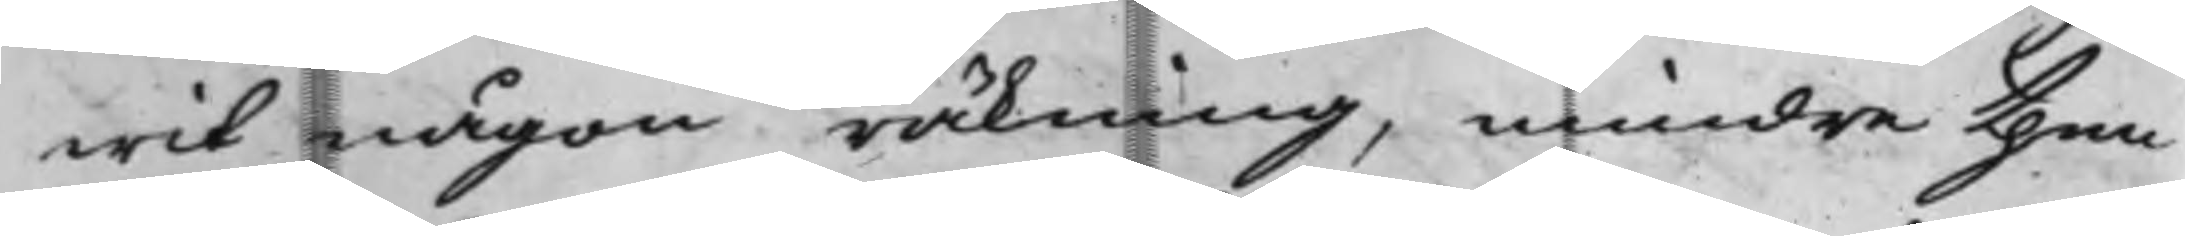wit någon räkning, mindre then
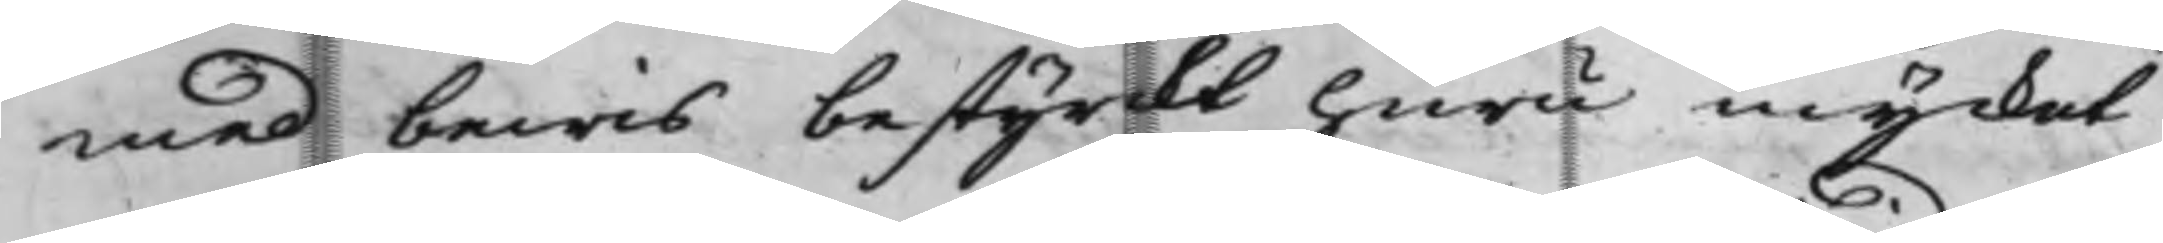med bewis bestyrckt huru mycket
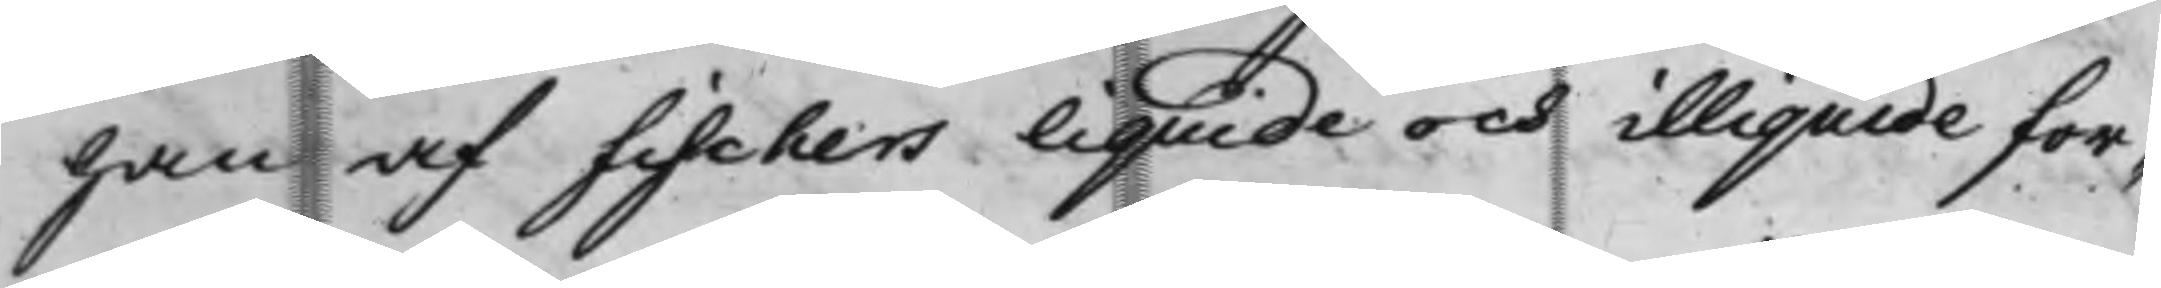han af Fischers liquide och illiquide for¬
